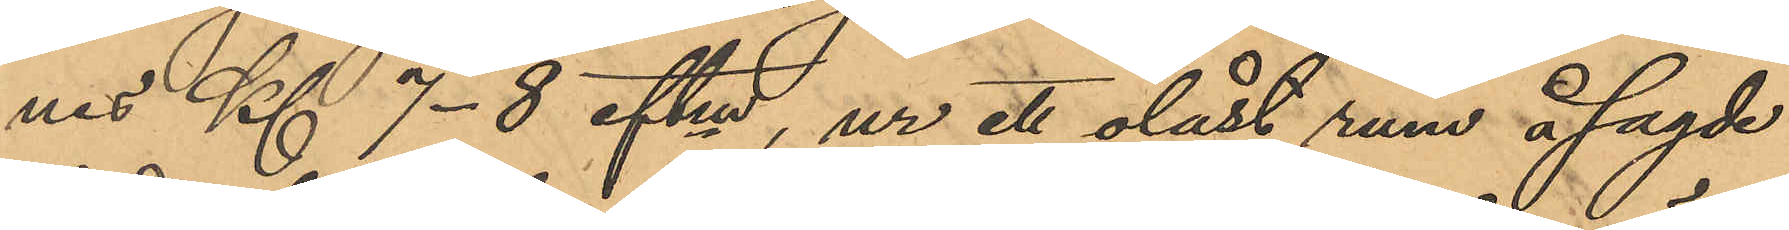nes Kl 7-8 eftm, ur ett olåst rum å sagde
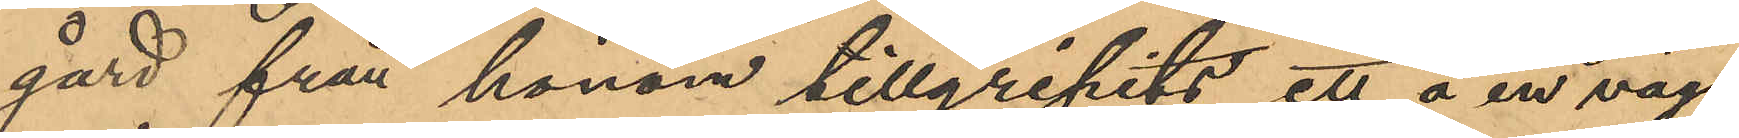gård från honom tillgripits ett å en vägg
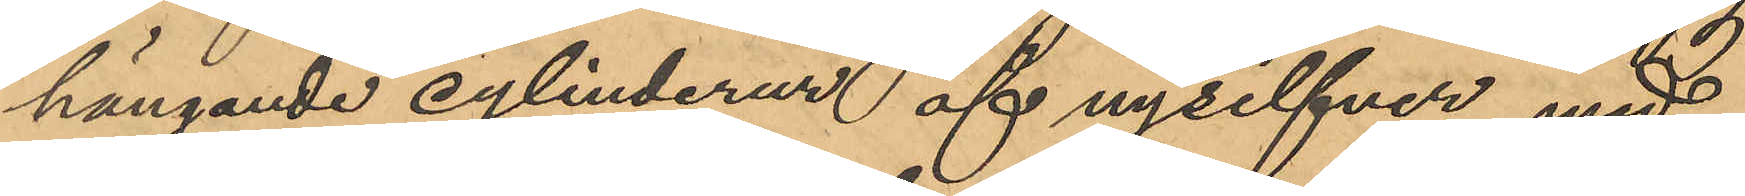hängande cylinderur af nysilfver med
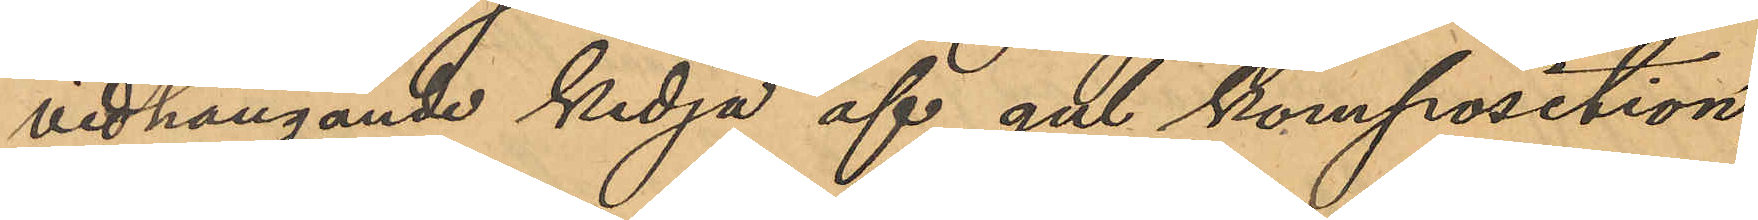vidhängande kedja af gul komposition,
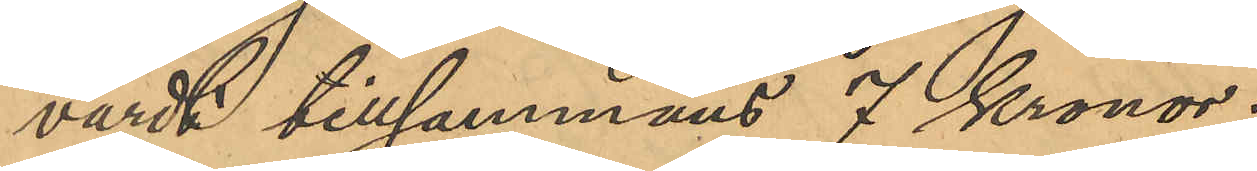värdt tillsammans 7 Kronor;
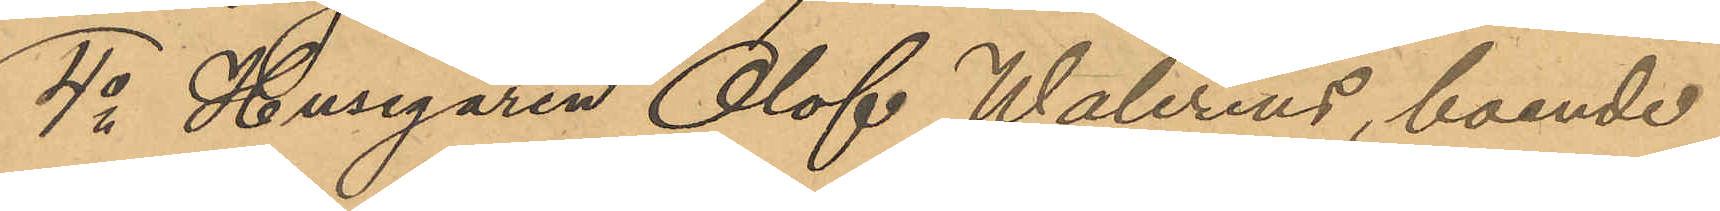4o Husegaren Olof Walerius, boende
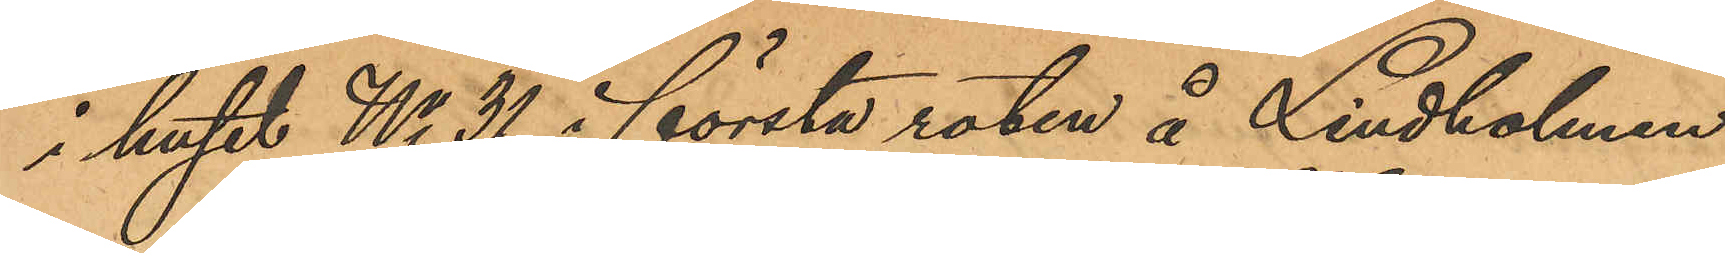i huset No 31 i första roten å Lindholmen
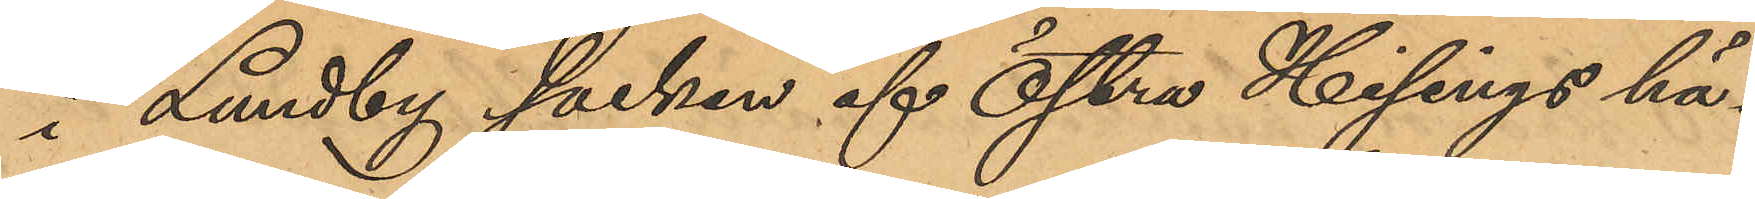i Lundby socken af Östra Hisings hä¬
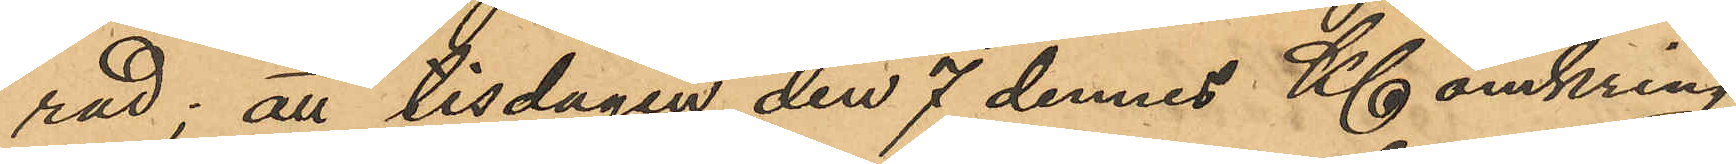rad; att tisdagen den 7 dennes Kl omkring
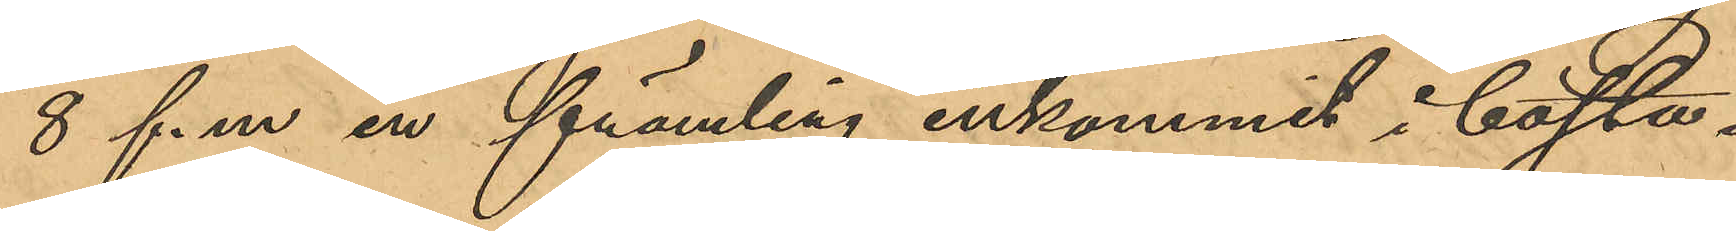8 f. m. en främling inkommit i bosta¬
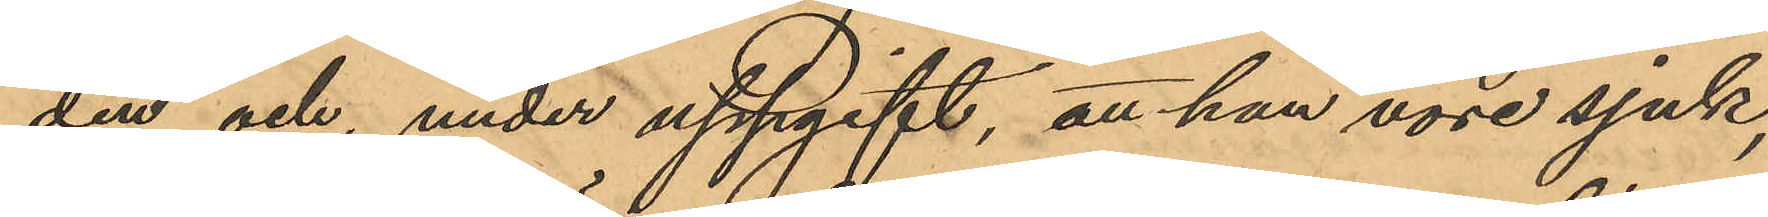den och, under uppgift, att han vore sjuk,
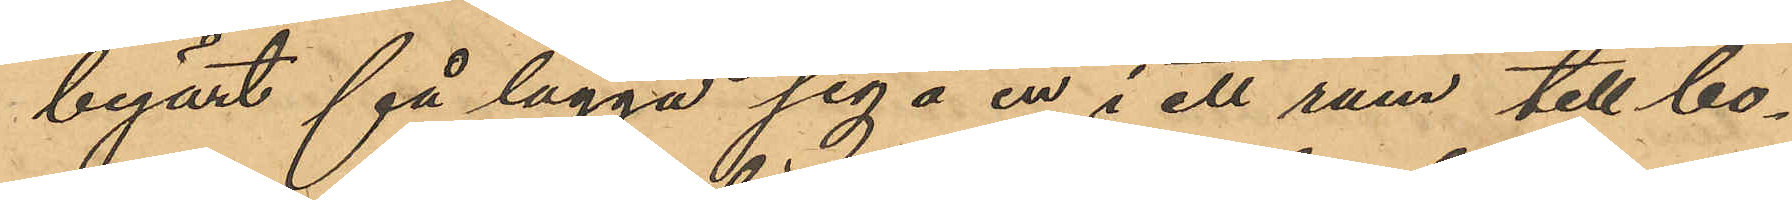begärt få lägga sig å en i ett rum till bo¬
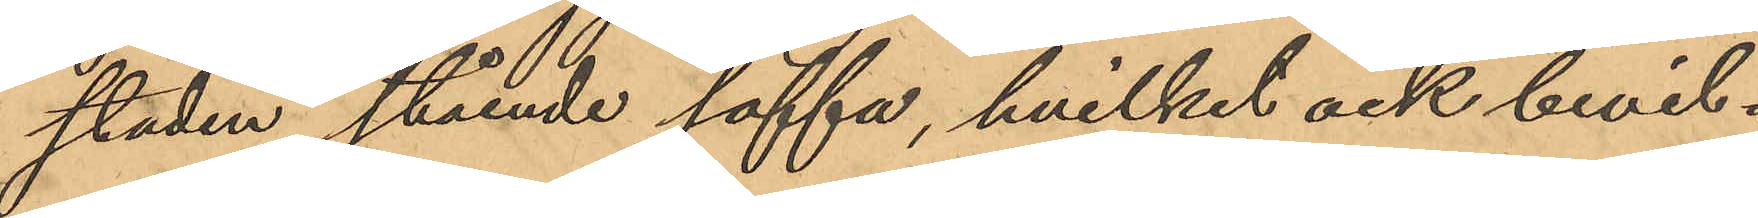staden stående soffa, hvilket ock bevil¬
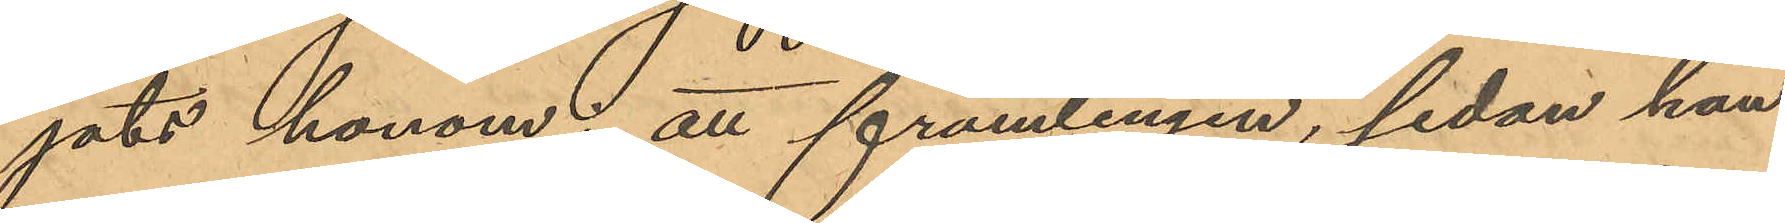jats honom; att främlingen, sedan han
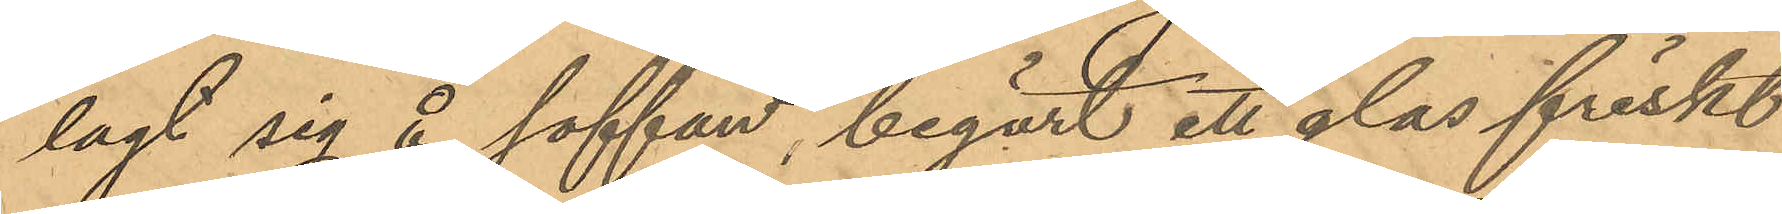lagt sig å soffan, begärt ett glas friskt
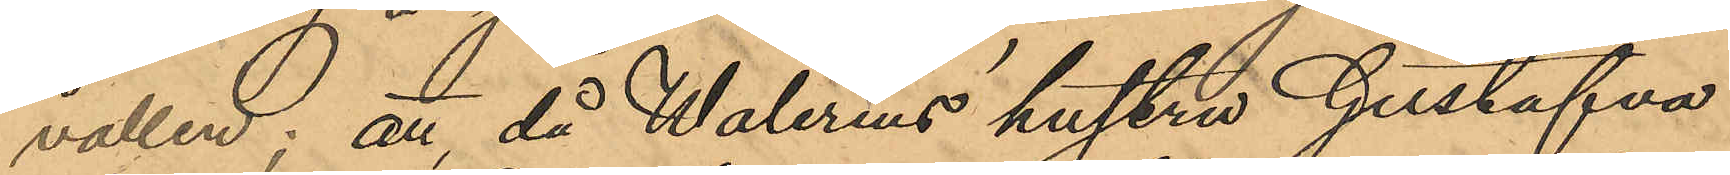vatten; att, då Walerius´ hustru Gustafva
